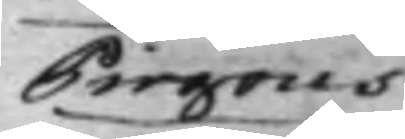Pirgons
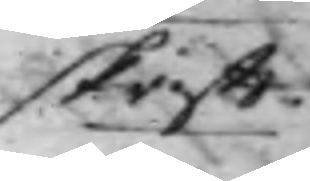skrifft.
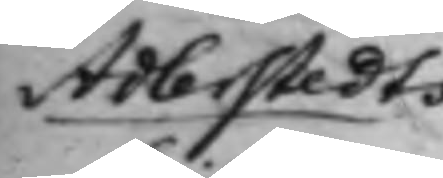Adlerstedts
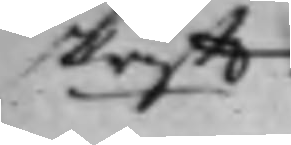skrifft
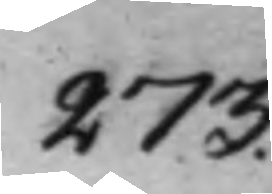273.
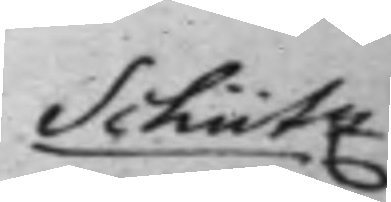Schütz
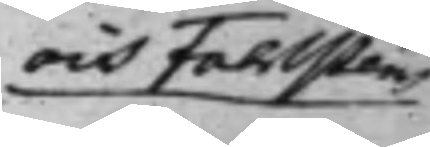och Fahlsténs
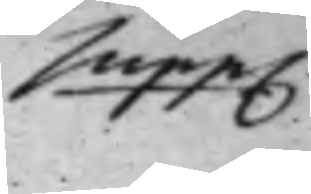supp.
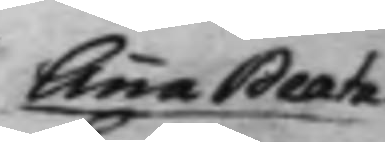Anna Beata
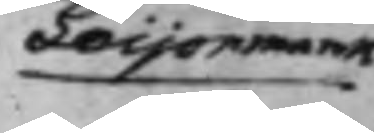Leijonmarck
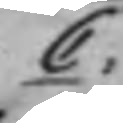C:
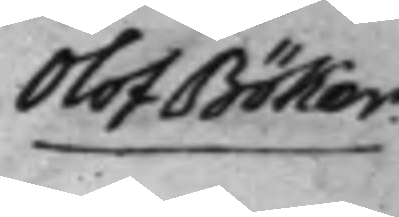Olof Böker
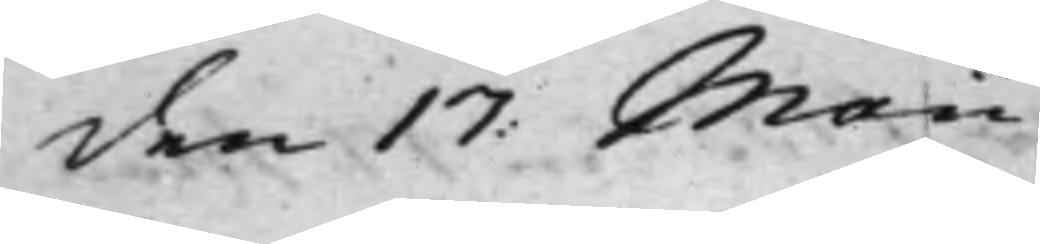den 17: Maii
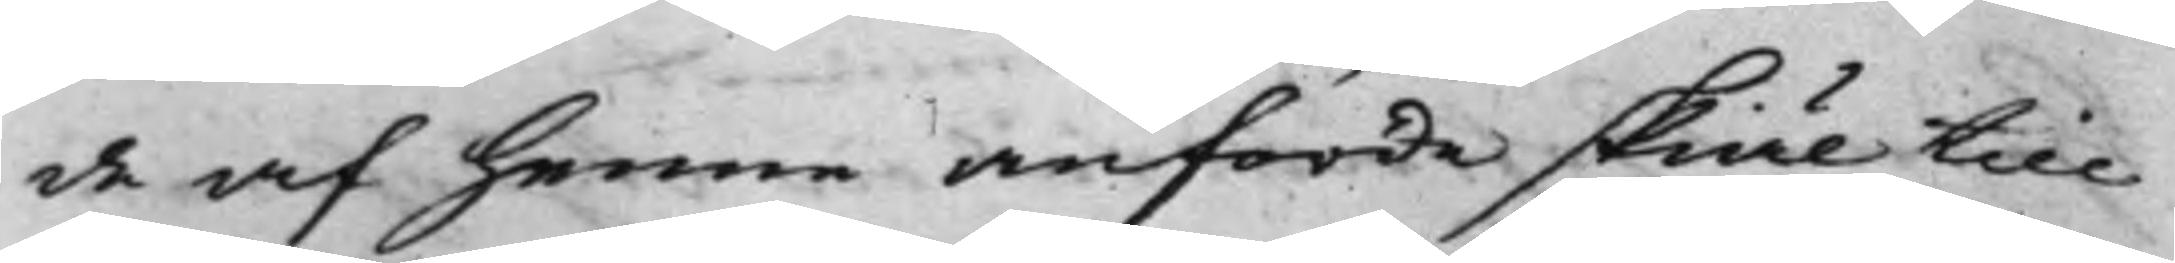de af henne anförde skiäl till
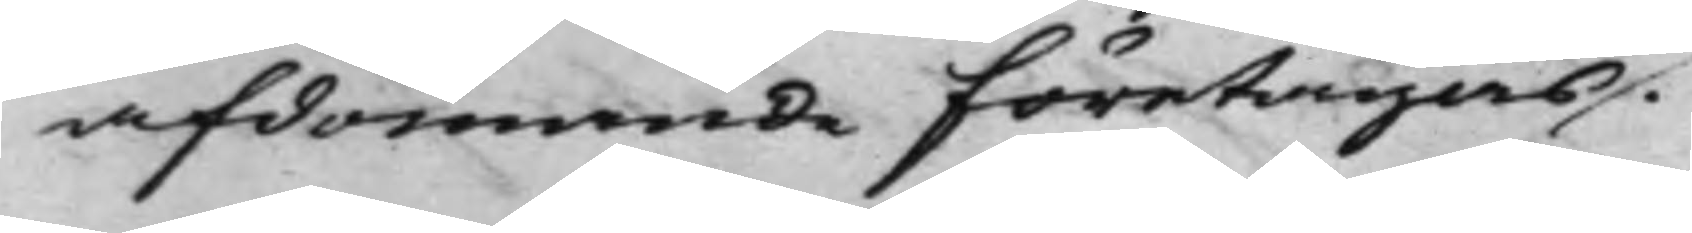afdömande företagas.
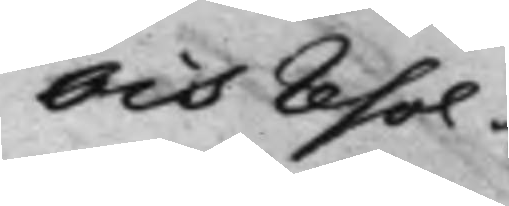Och resol¬
